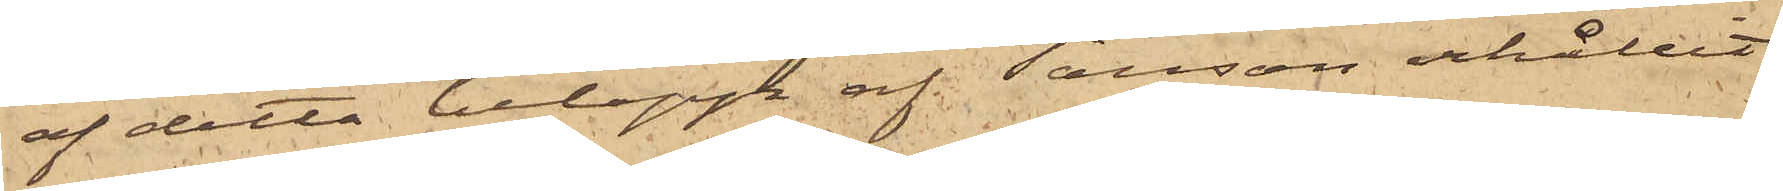af detta belopp af Tausson erhållit
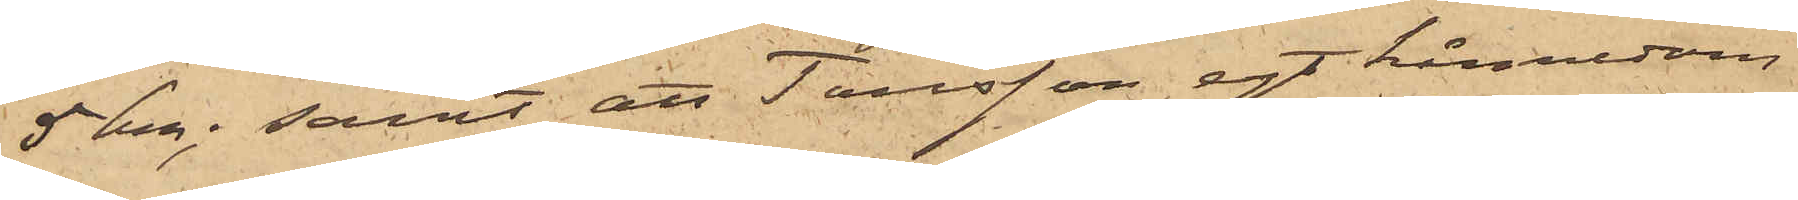5kr; samt att Tausson egt kännedom
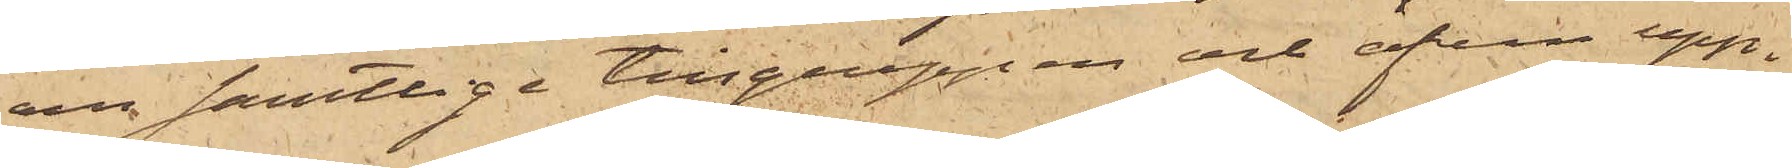om samtlige tillgreppen och äfven upp¬
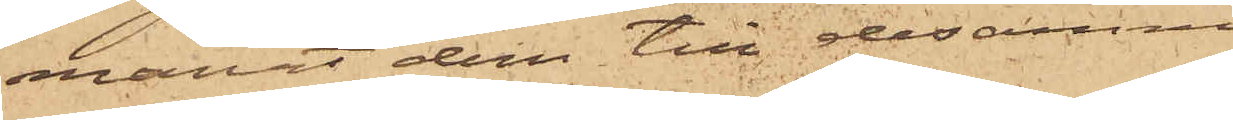manat dem till desamma.
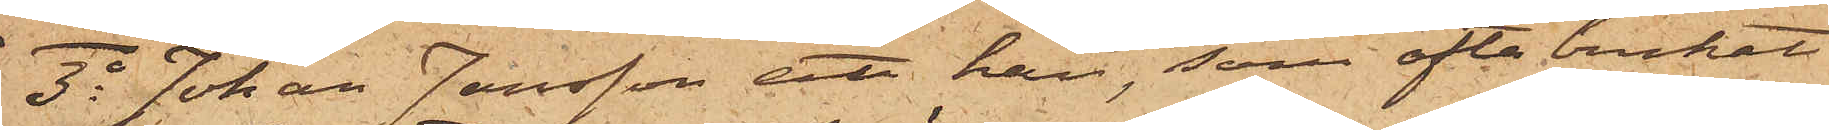3o Johan Jansson att han, som ofta brukat
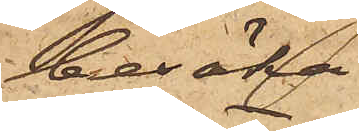besöka
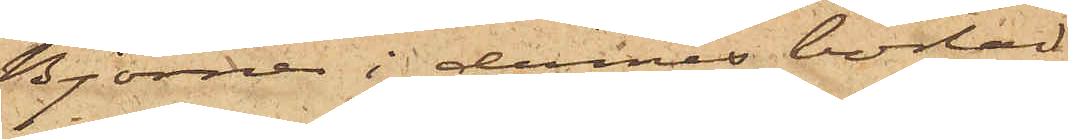Björner i dennes bostad
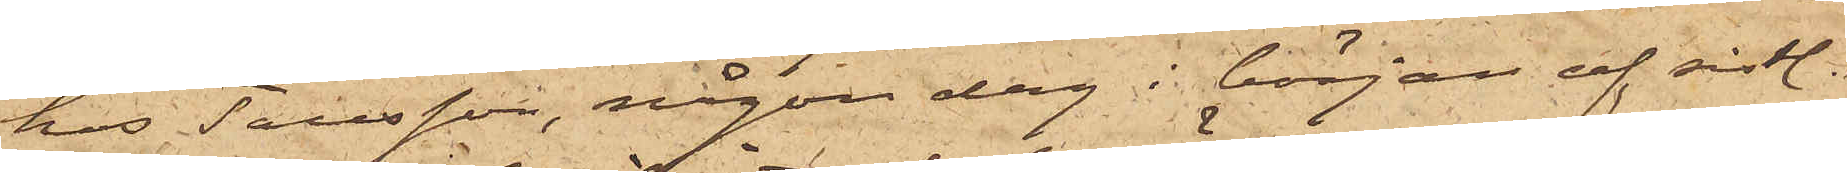hos Tausson, någon dag i början af sistl.
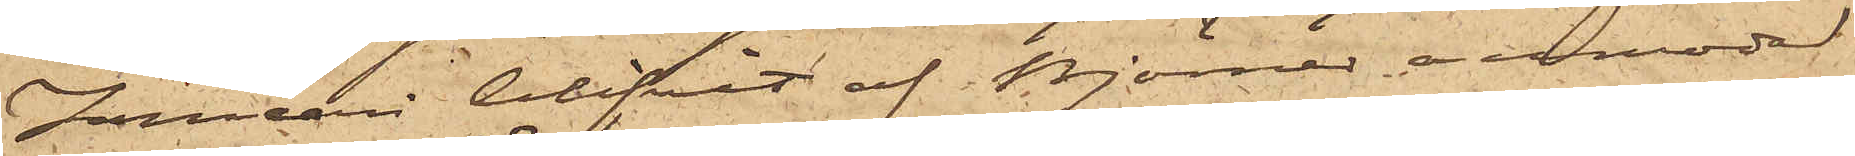Januari blifvit af Björner anmodad
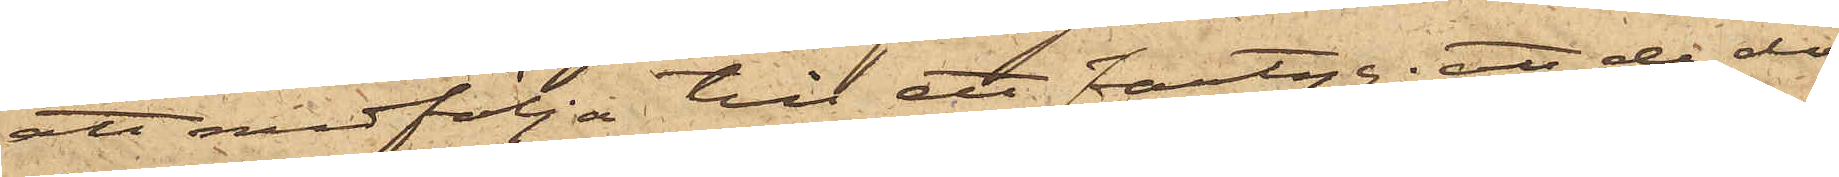att medfölja till ett fartyg; att de då
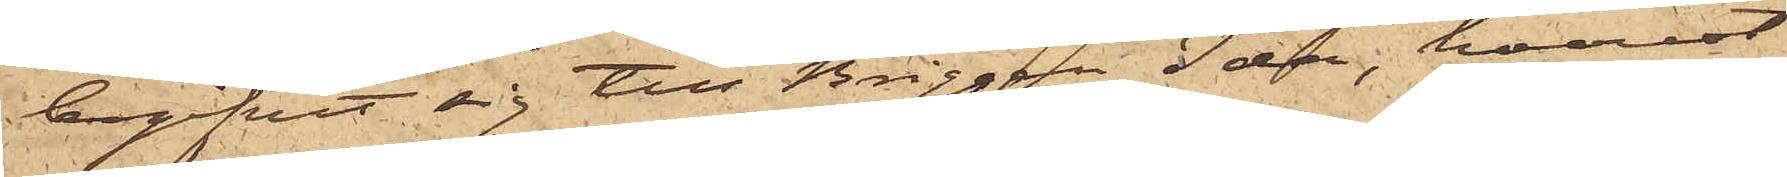begifvit sig till Briggen Ida, hvarest
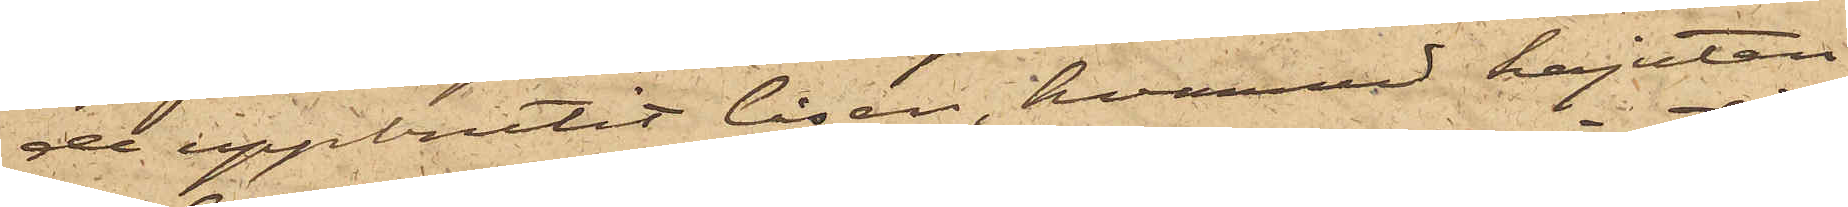de uppbrutit låsen, hvarmed kajutan
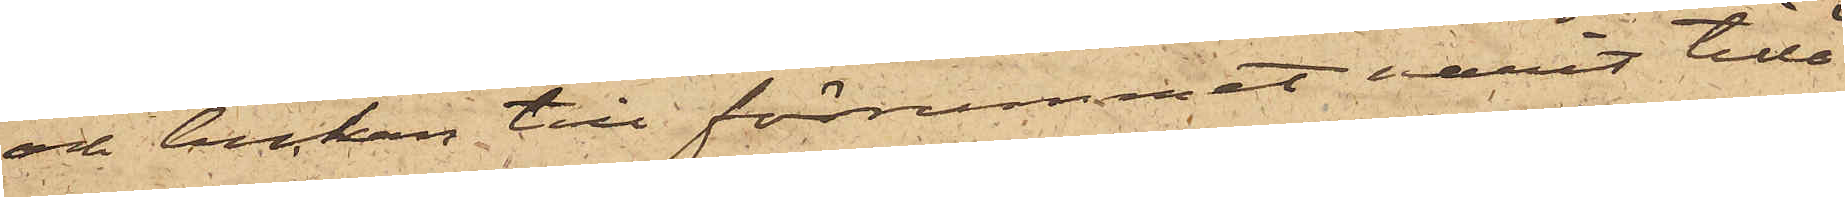och luckan till förrummet varit tillå¬
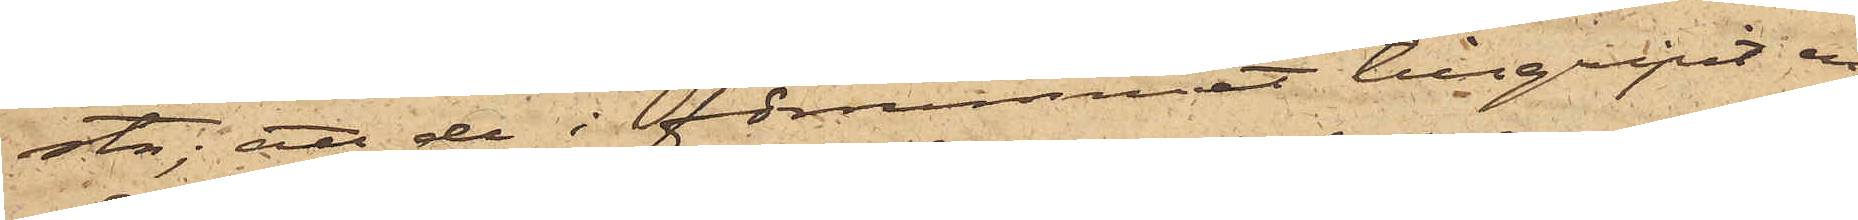sta; att de i förrummet tillgripit en
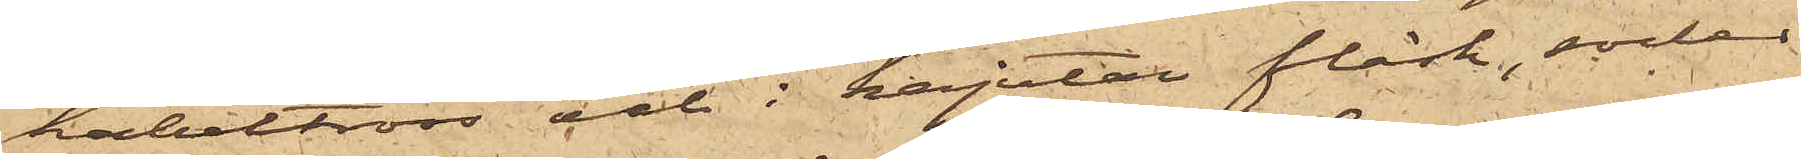kabeltross och i kajutan fläsk, socker,
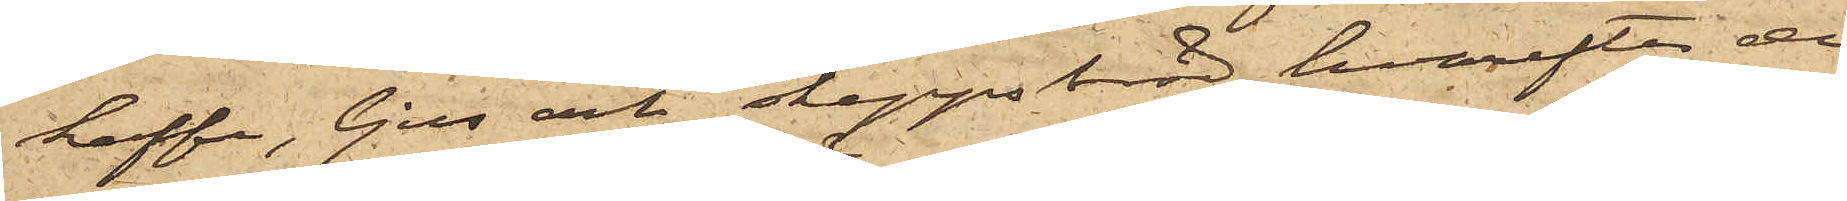kaffe, ljus och skeppsbröd, hvarefter de
